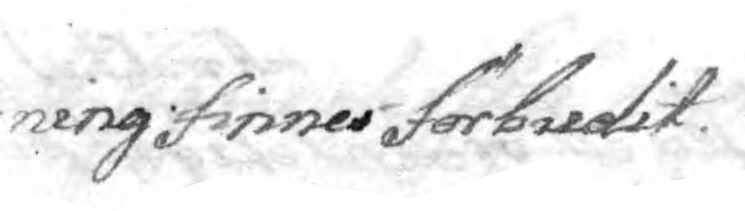ning finnes förbudit.
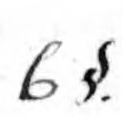6 §.
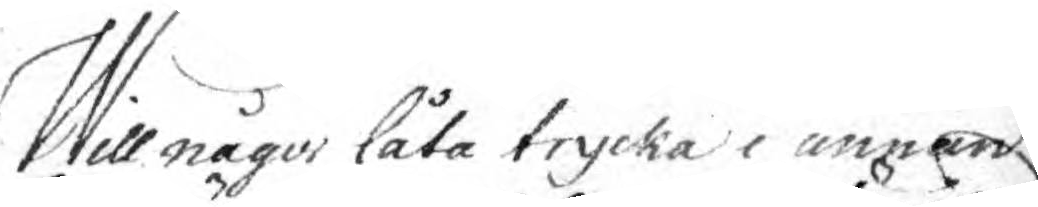Will någos låta trycka i annan
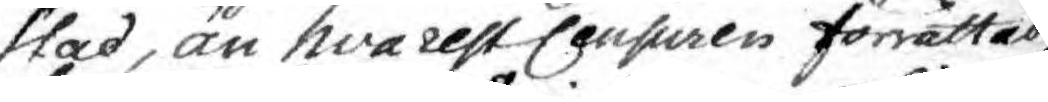stad, än hvarest Cansuren forrättad
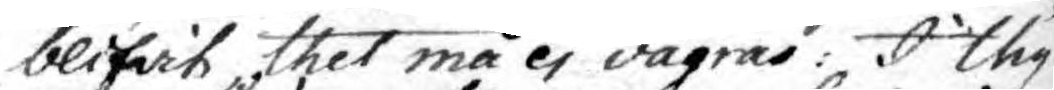blifwit thet må ej vägras: I thy
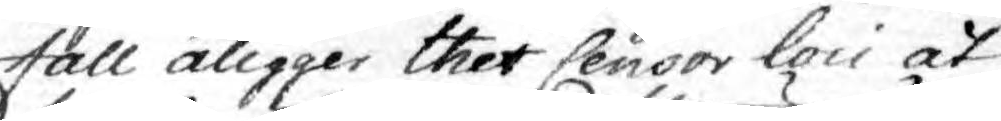fall åligger thet Censor loci at
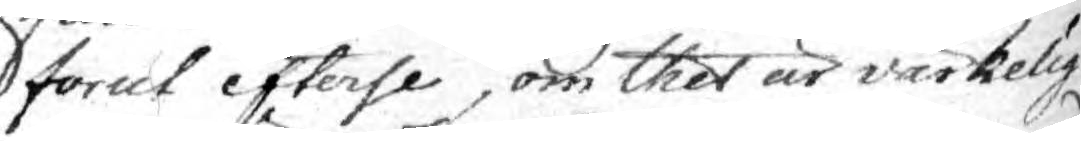forut efterse, om thet är värkelig
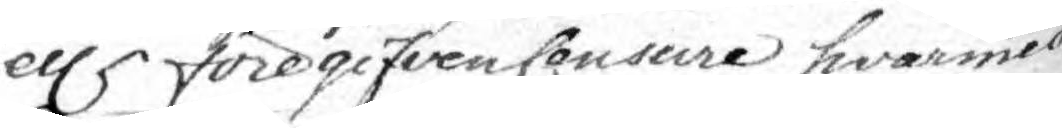ellr föregifven Censure hvarmed
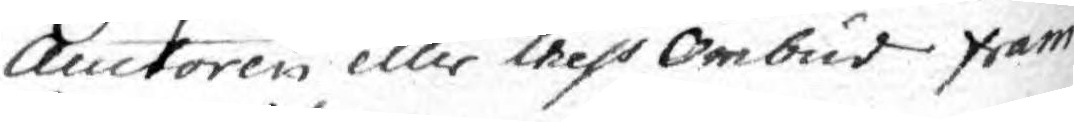Auctoren eller thess Ombud fram¬
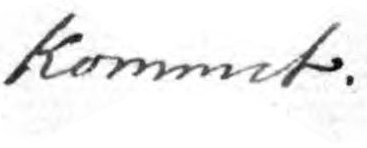kommit.
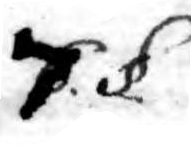7. §.
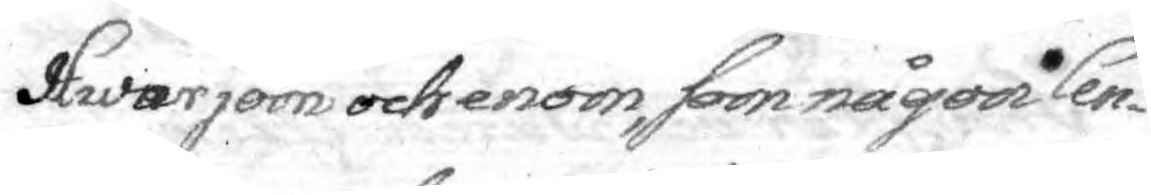hwarjom och enom, som någor Cen¬
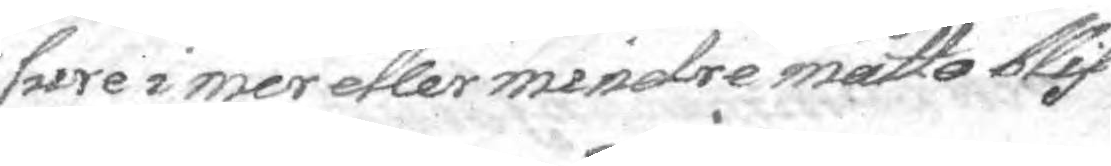sure i mer eller mindre måtto blif¬
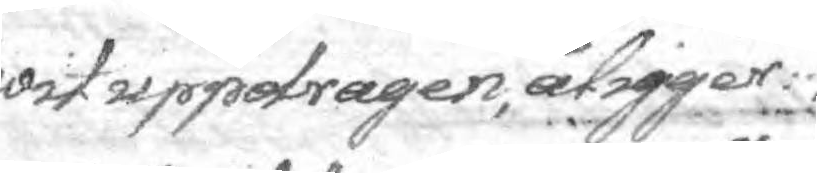wit uppdragen, åligger
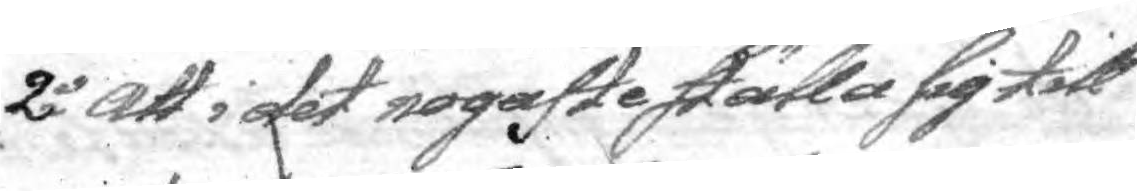2o Att i det nogaste ställa sig till
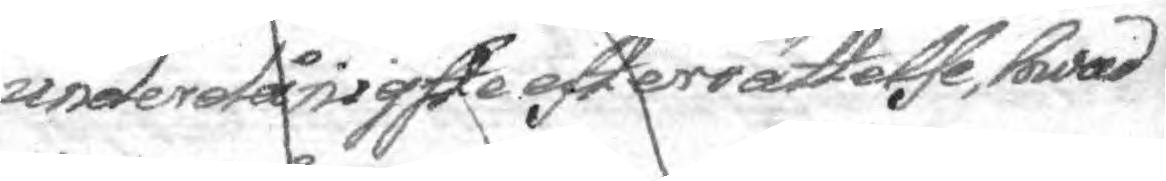underdånigste efterrättelse, hwad
